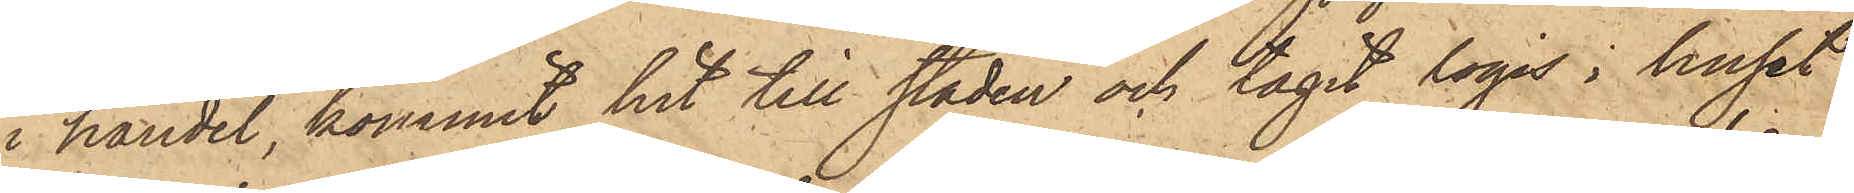i handel, kommit hit till staden och tagit logis i huset
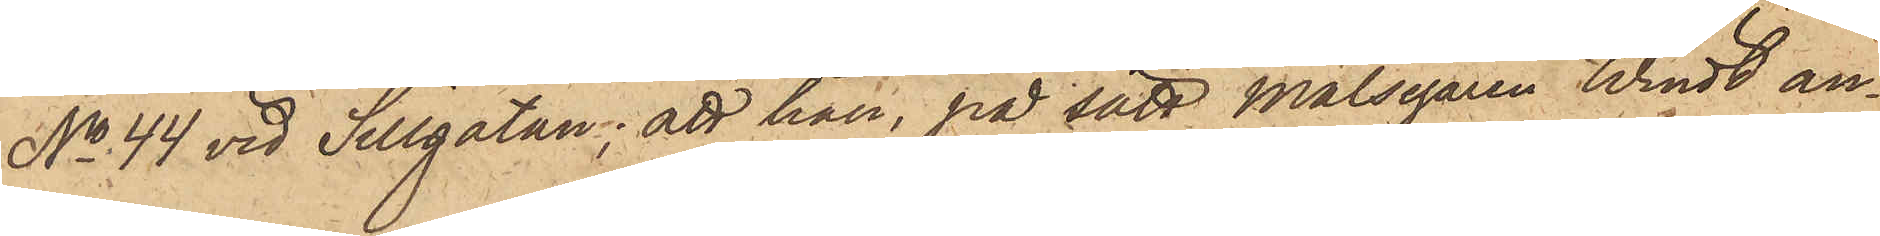No 44 vid Sillgatan; att han, på sätt målsegaren Windt an¬
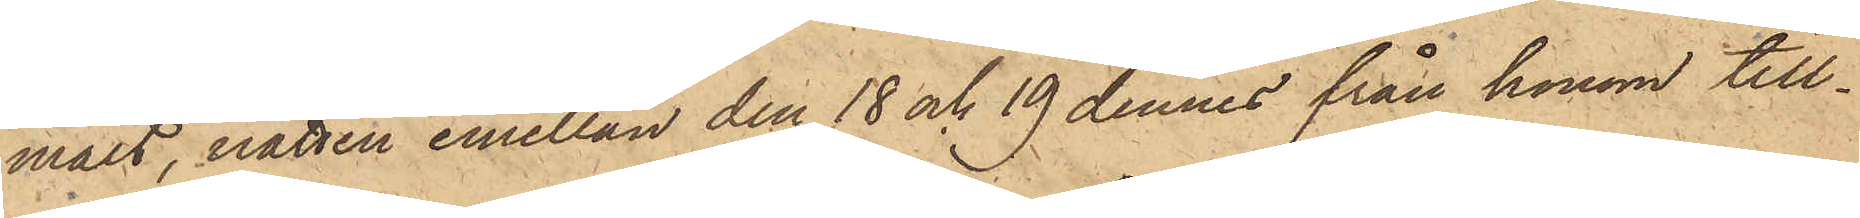mält, natten emellan den 18 och 19 dennes från honom till¬
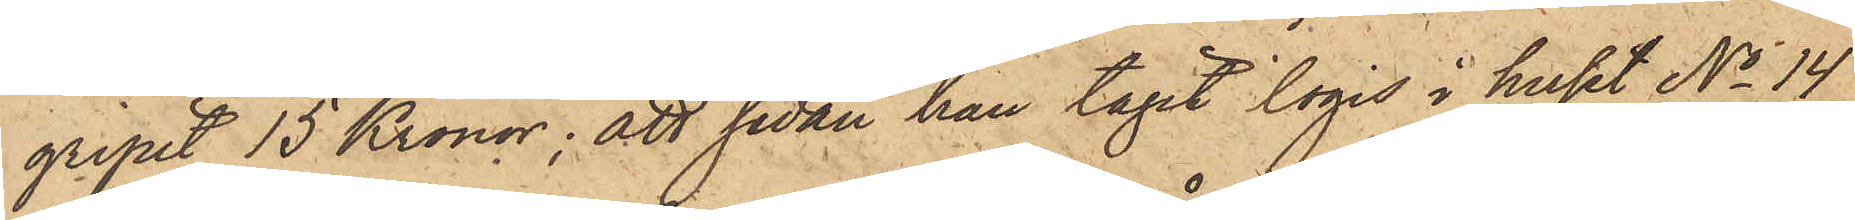gripit 15 Kronor; att sedan han tagit logis i huset No 14
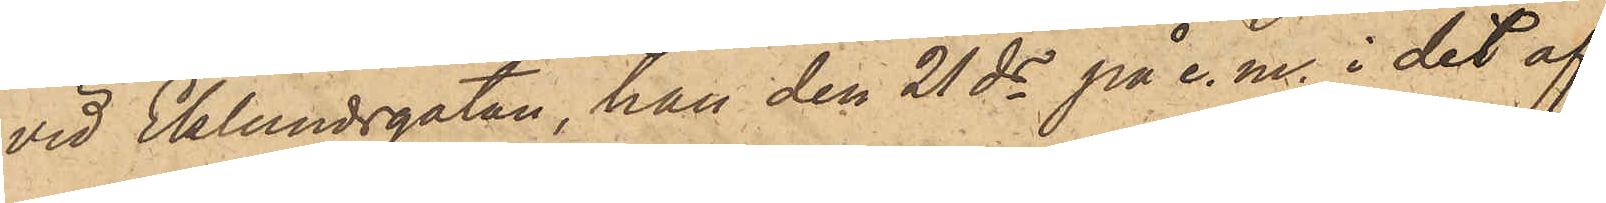vid Eklundsgatan, han den 21 ds på e. m. i det af
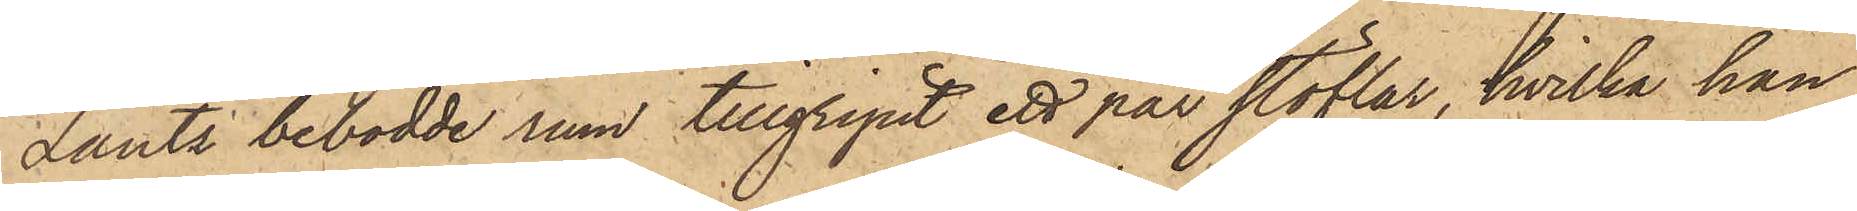Lantz bebodde rum tillgripit ett par stöflar, hvilka han
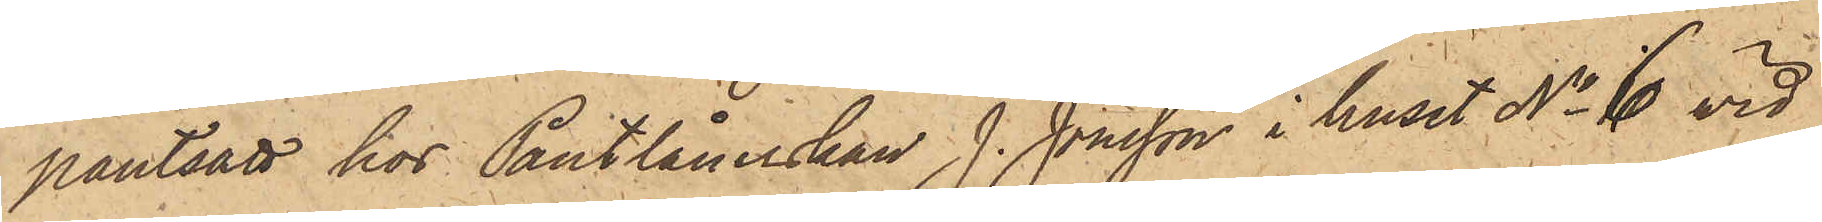pantsatt hos Pantlånerskan J. Jonsson i huset No 6 vid
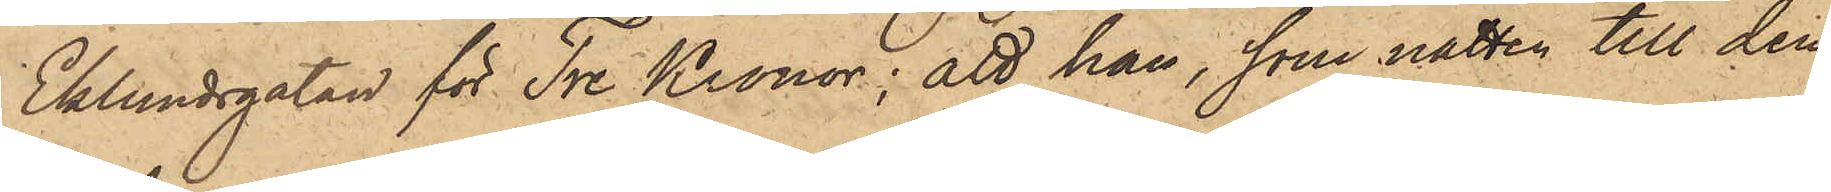Eklundsgatan för Tre Kronor; att han, som natten till den
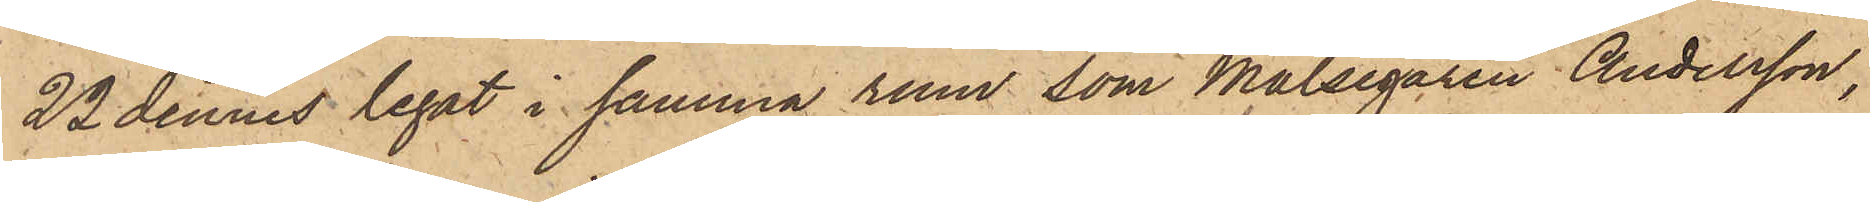22 dennes legat i samma rum som målsegaren Andersson,
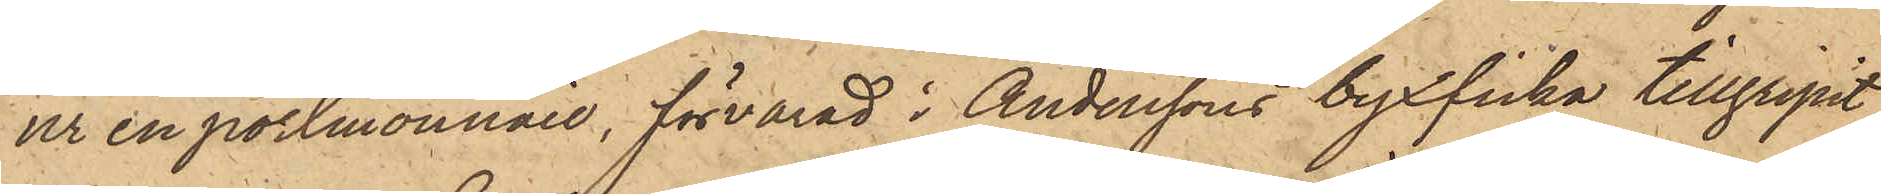ur en portmonnaie, förvarad i Anderssons byxficka tillgripit
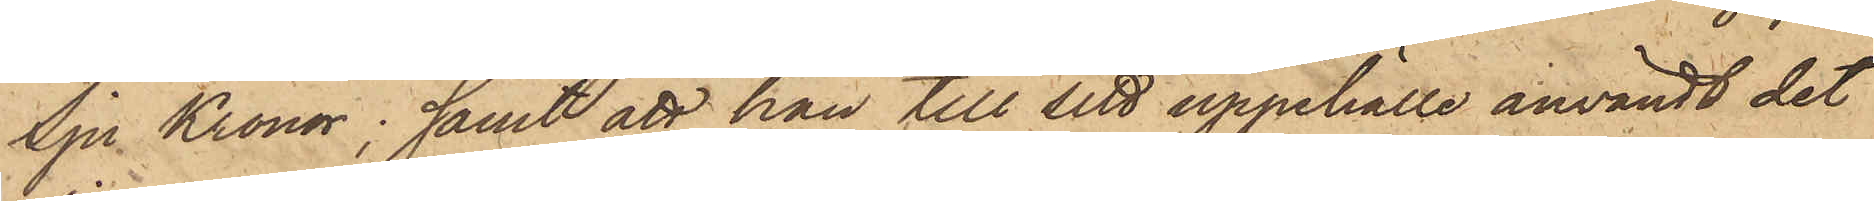Sju Kronor; samt att han till sitt uppehälle användt det
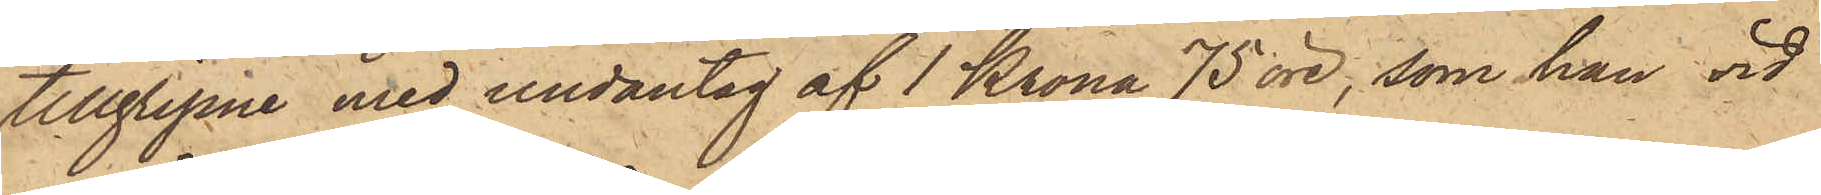tillgripne med undantag af 1 Krona 75 öre, som han vid
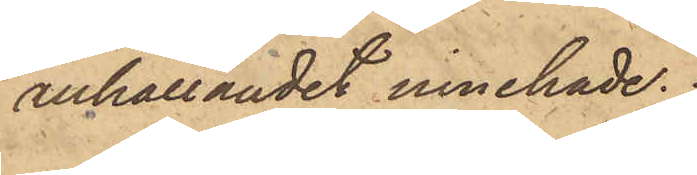anhållandet innehade.
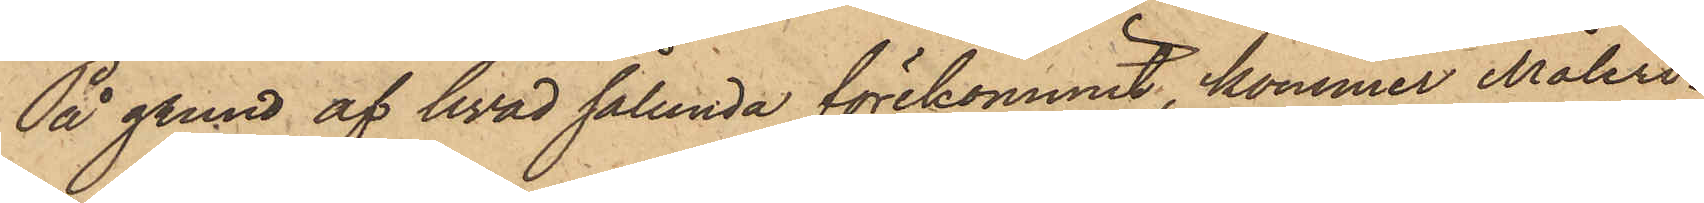På grund af hvad sålunda förekommit, kommer Måleri¬
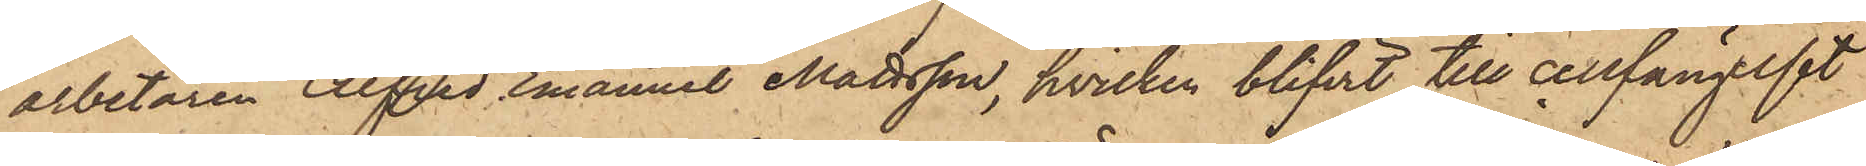arbetaren Alfred Emanuel Mattsson, hvilken blifvit till cellfängelset
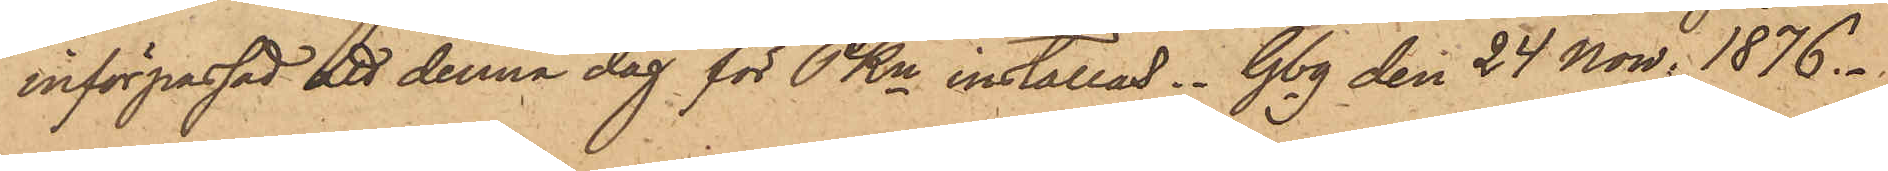införpassad att denna dag för PKn inställas. Gbg den 24 Nov. 1876.
